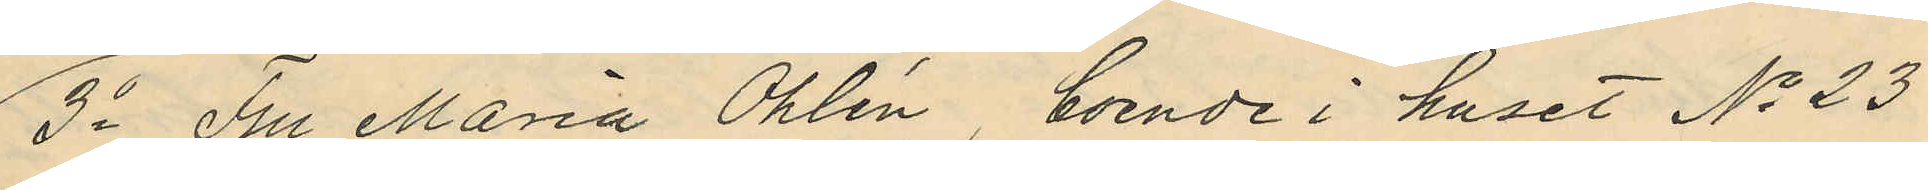3o Fru Maria Öhlén, boende i huset No 23
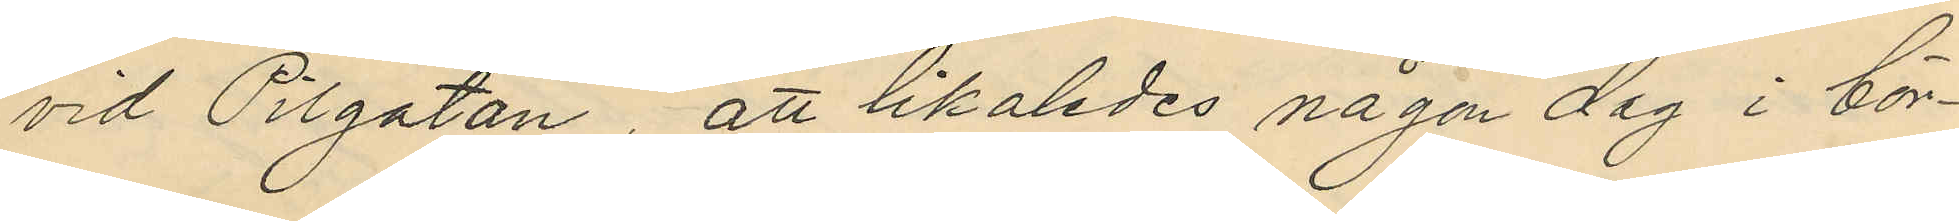vid Pilgatan, att likaledes någon dag i bör¬
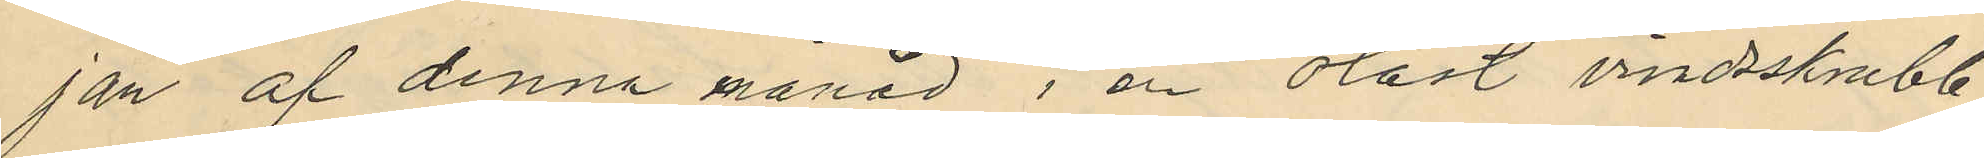jan af denna månad i en olåst vindsskrubb
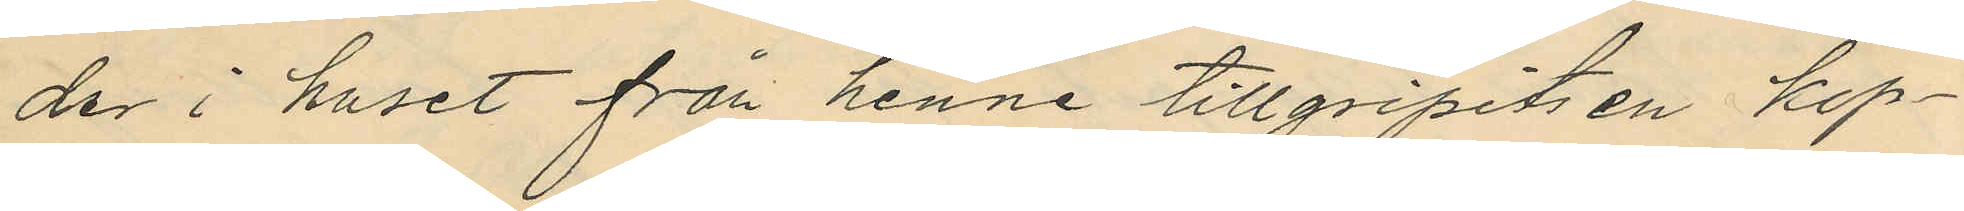der i huset från henne tillgripits en kop¬
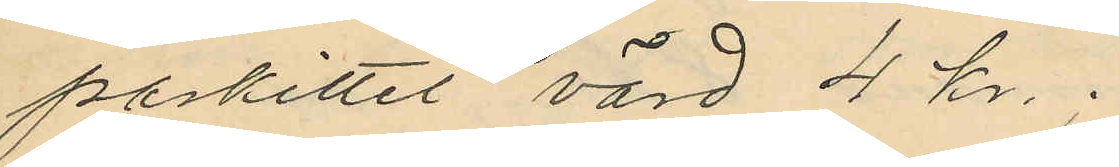parkittel, värd 4 kr.
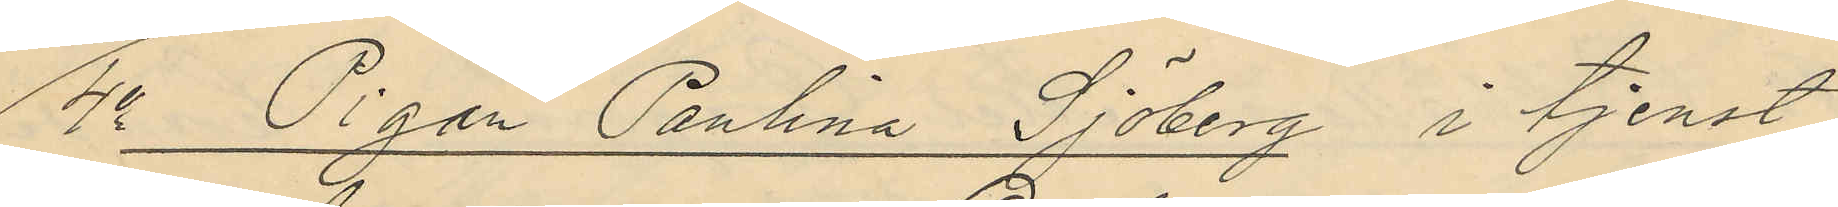4o Pigan Paulina Sjöberg i tjenst
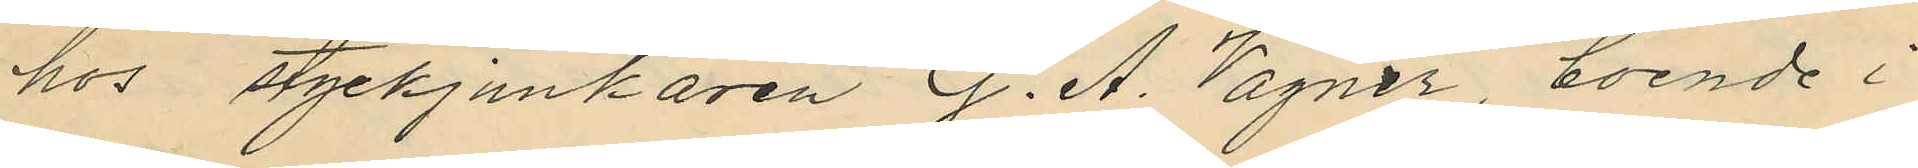hos styckjunkaren G. A. Vagner, boende i
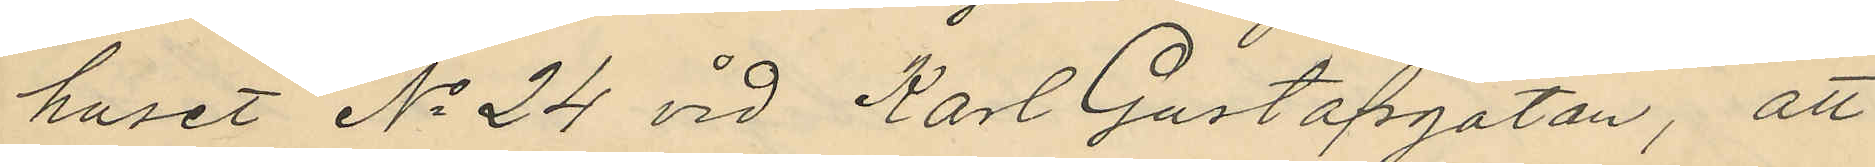huset No 24 vid Karl Gustafsgatan, att
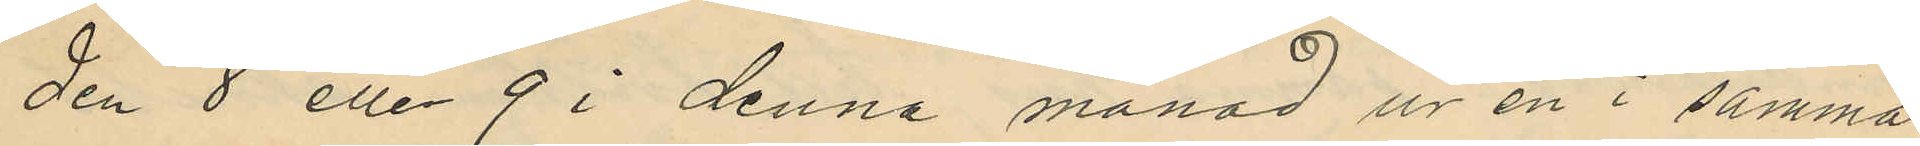den 8 eller 9 i denna månad ur en i samma
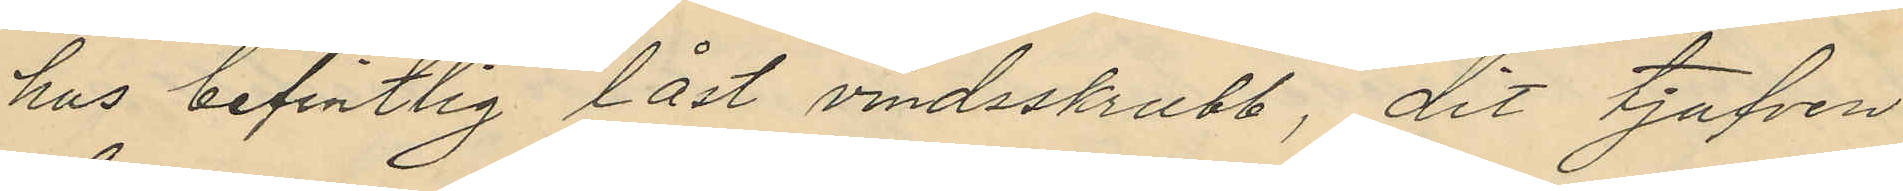hus befintlig låst vindsskrubb, dit tjufven
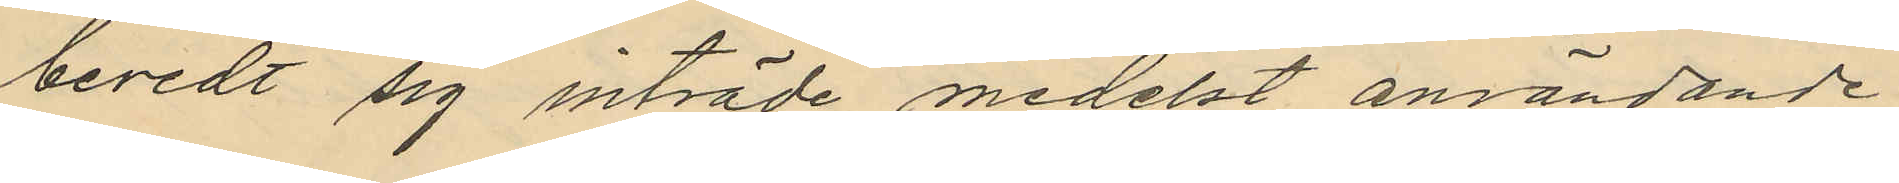beredt sig inträde medelst användande
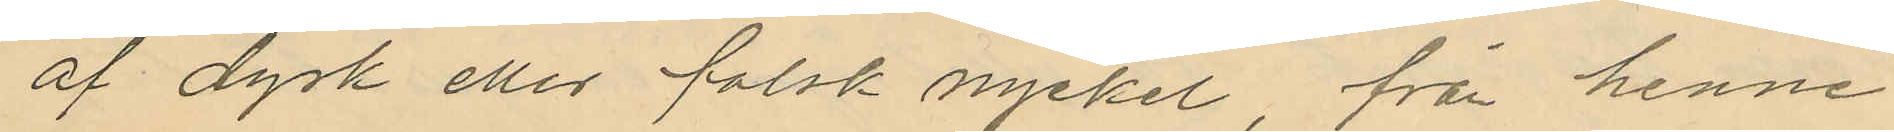af dyrk eller falsk nyckel, från henne
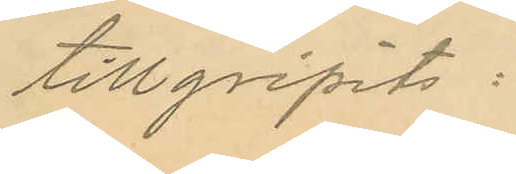tillgripits:
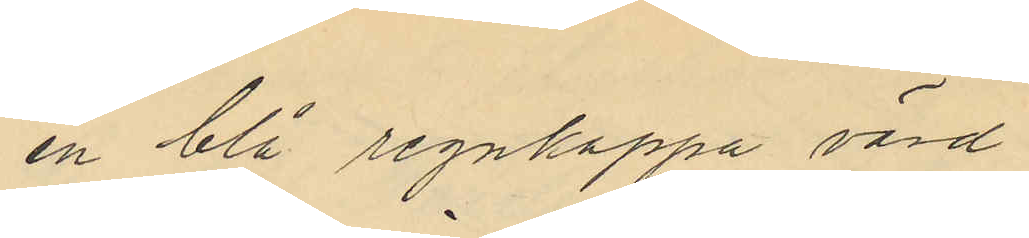en blå regnkappa värd
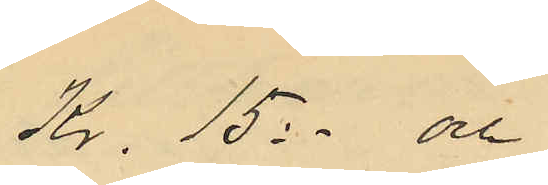Kr. 15:- och
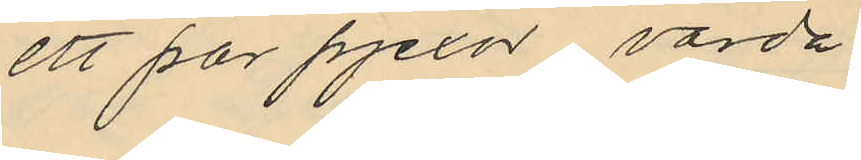ett par pjexor värda
